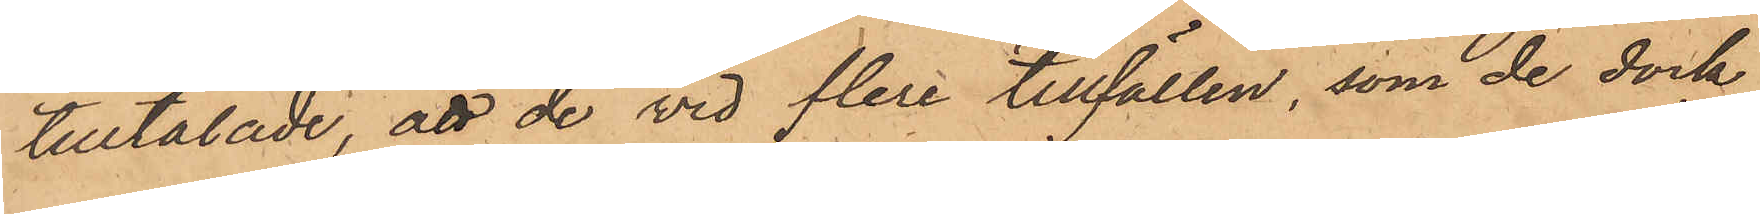tilltalade, att de vid flera tillfällen, som de dock
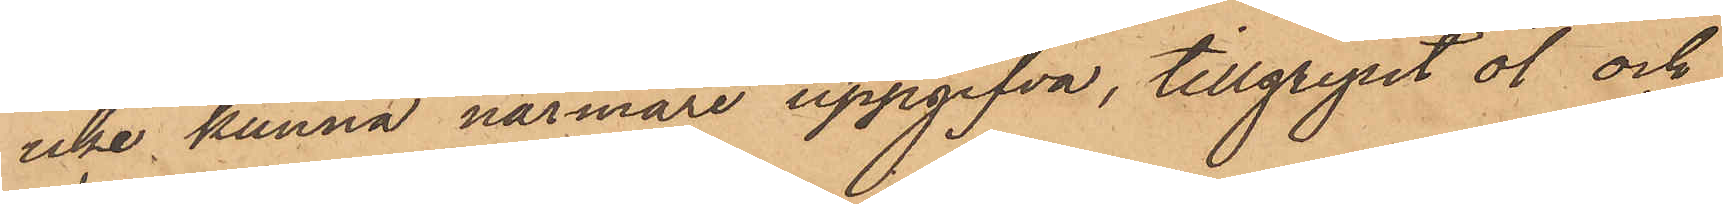icke kunna närmare uppgifva, tillgripit öl och
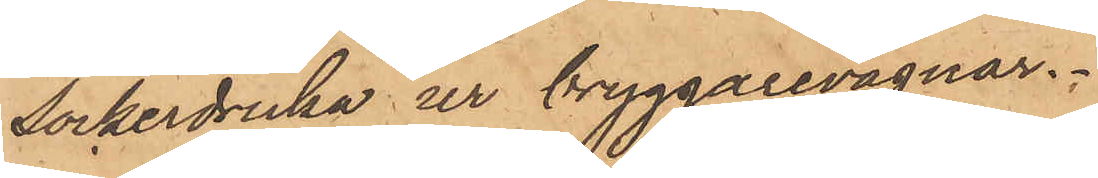sockerdricka ur bryggarevagnar.
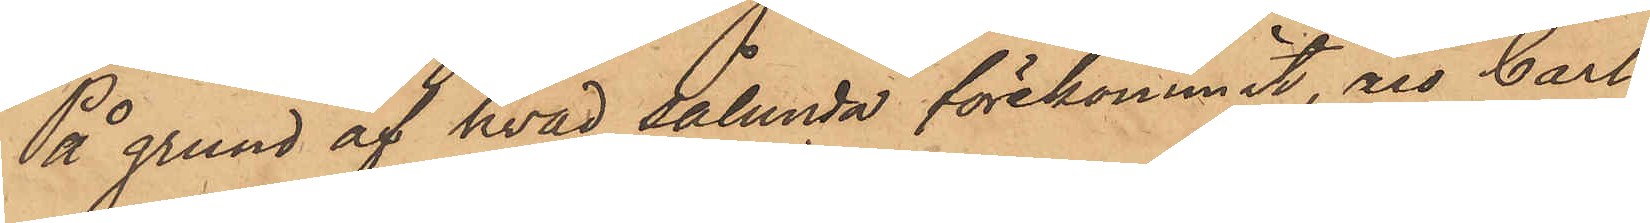På grund af hvad sålunda förekommit, äro Carl
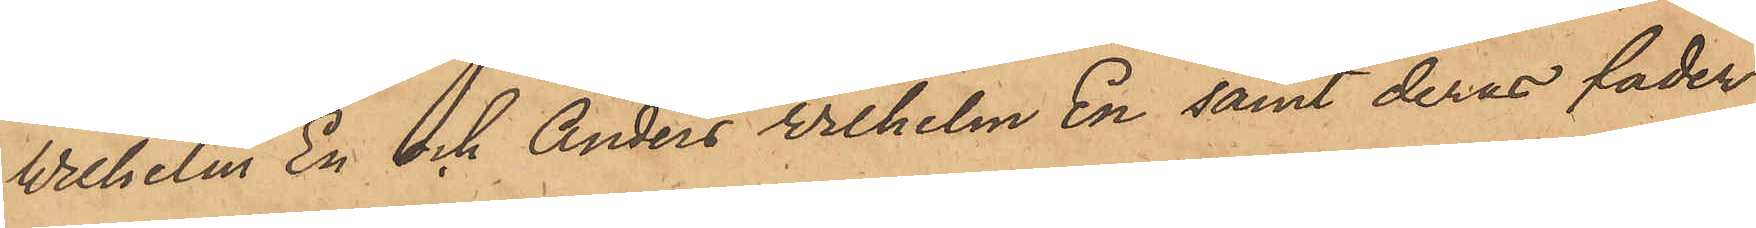Wilhelm En och Anders Wilhelm En samt deras fader
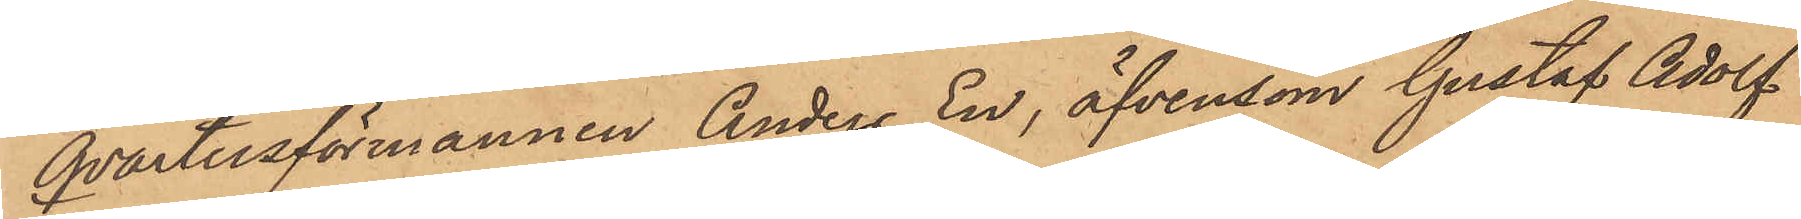Qvartersförmannen Anders En, äfvensom Gustaf Adolf
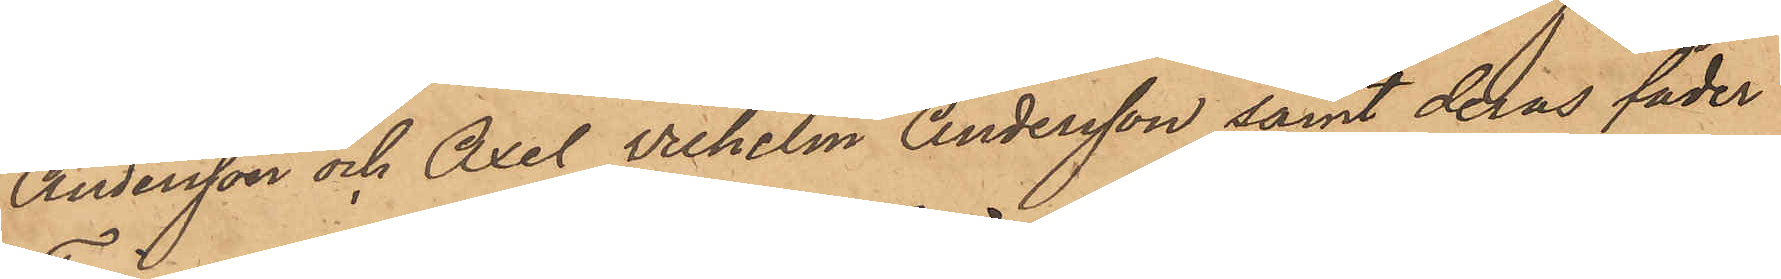Andersson och Axel Wilhelm Andersson samt deras fader
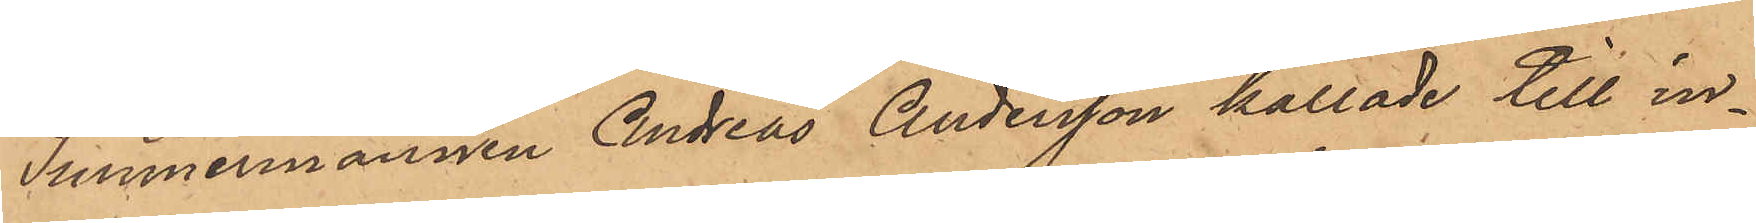Timmermannen Andreas Andersson kallade till in¬
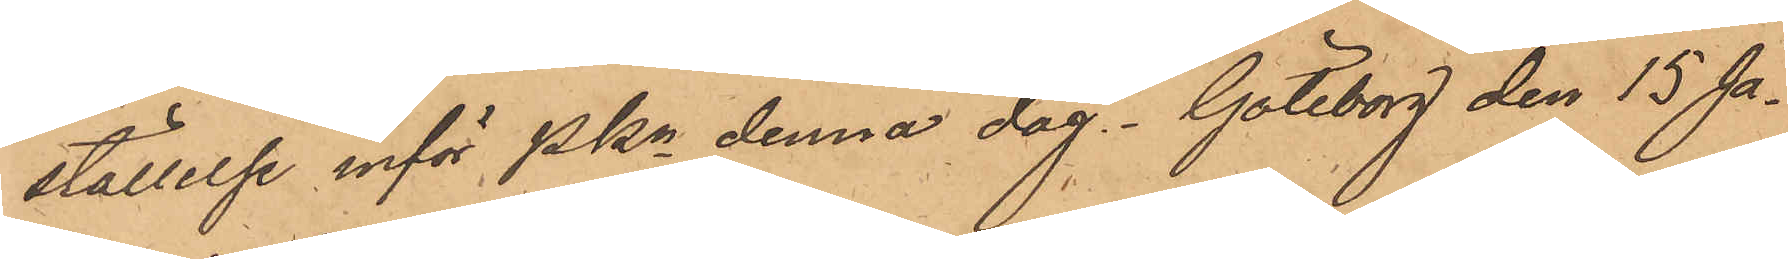ställelse inför Pkn denna dag. Göteborg den 15 Ja¬
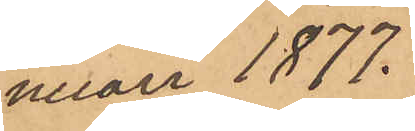nuari 1877.
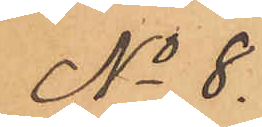No 8.
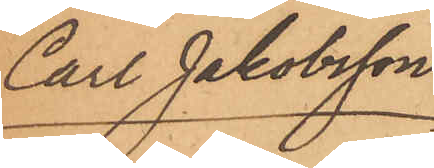Carl Jakobsson
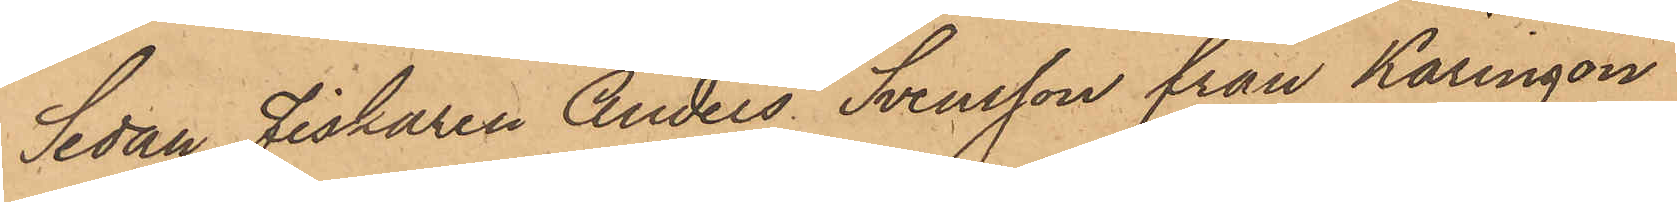Sedan fiskaren Anders Svensson från Käringön
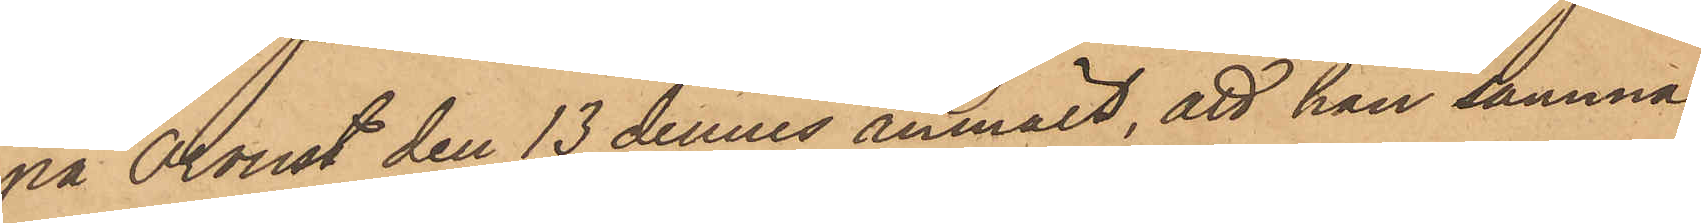på Orust den 13 dennes anmält, att han samma
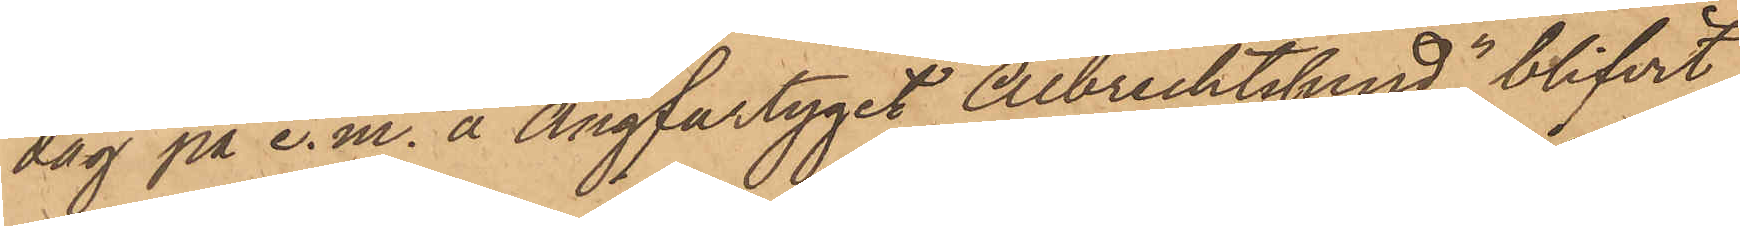dag på e. m. å ångfartyget Albrechtsund blifvit
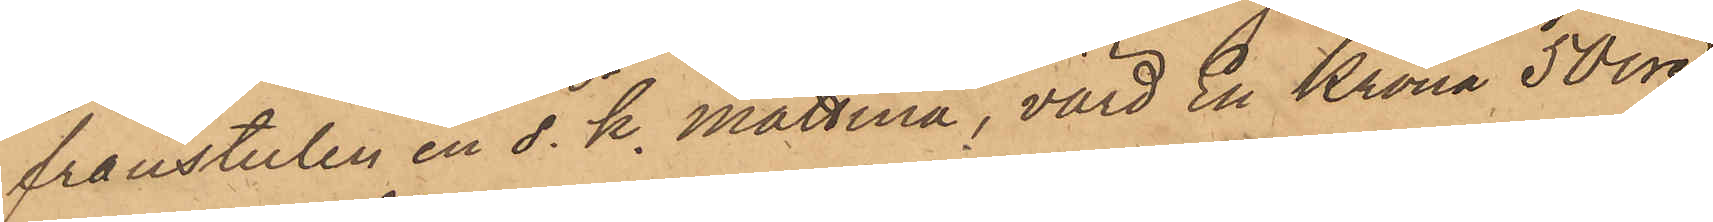frånstulen en s. k. mattina, värd En Krona 50 öre,
